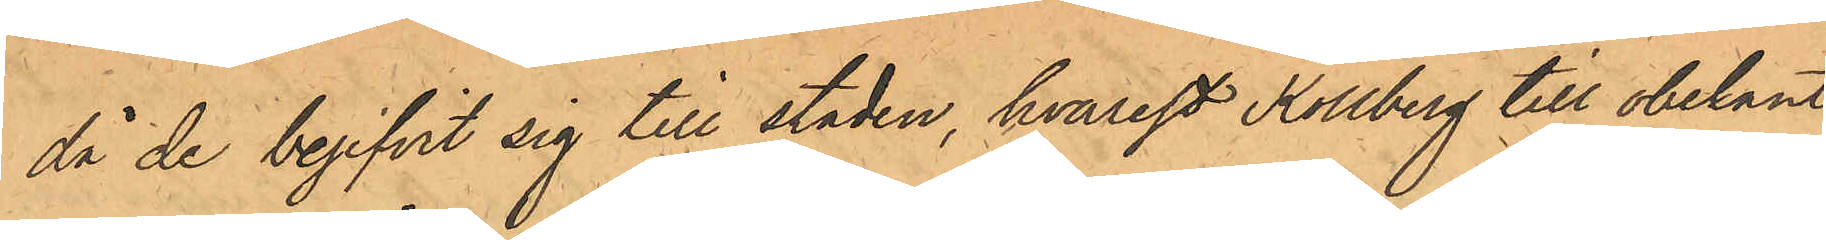då de begifvit sig till staden, hvarest Kollberg till obekanta
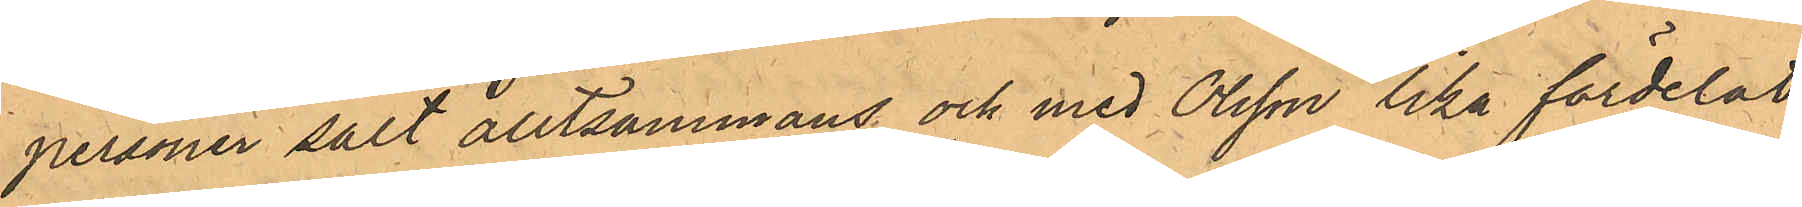personer sålt alltsammans och med Olsson lika fördelat
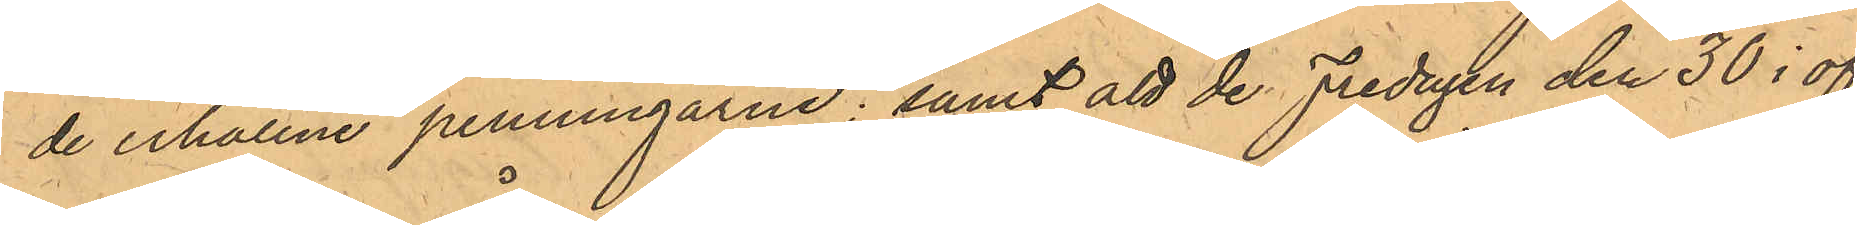der erhållne penningarne; samt att de Fredagen den 30 i of¬
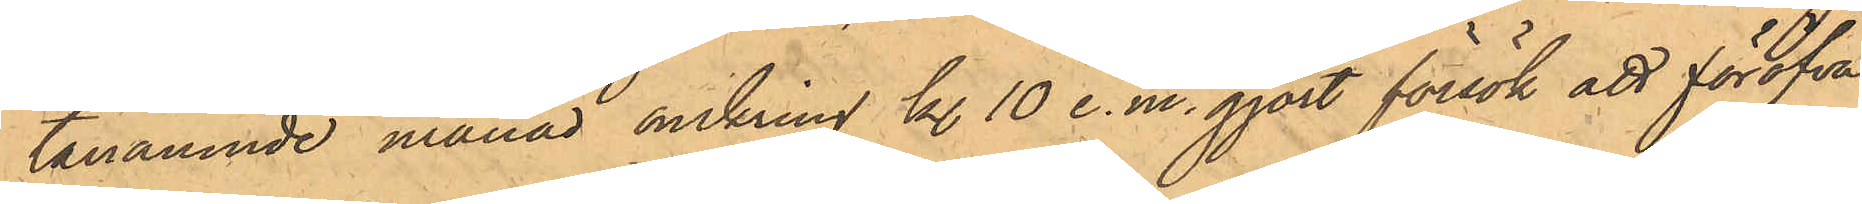tanämnde månad omkring kl. 10 e.m. gjort försök att föröfva
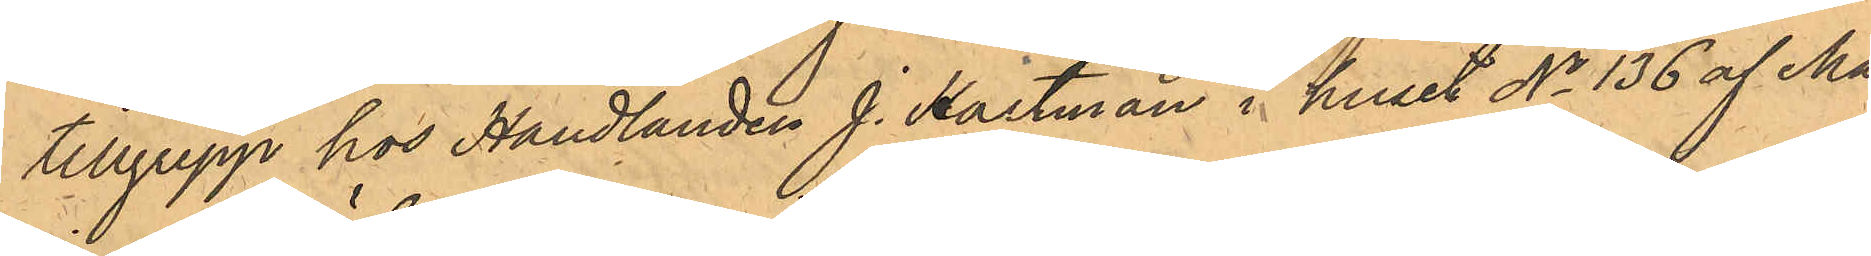tillgrepp hos Handlanden J. Hartman i huset No 136 af Ma¬
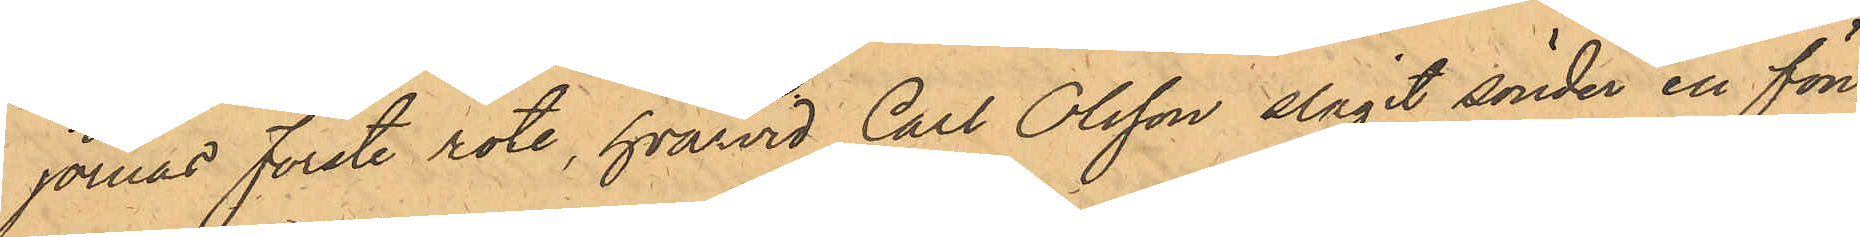jornas förste rote, hvarvid Carl Olsson slagit sönder en fön¬ 
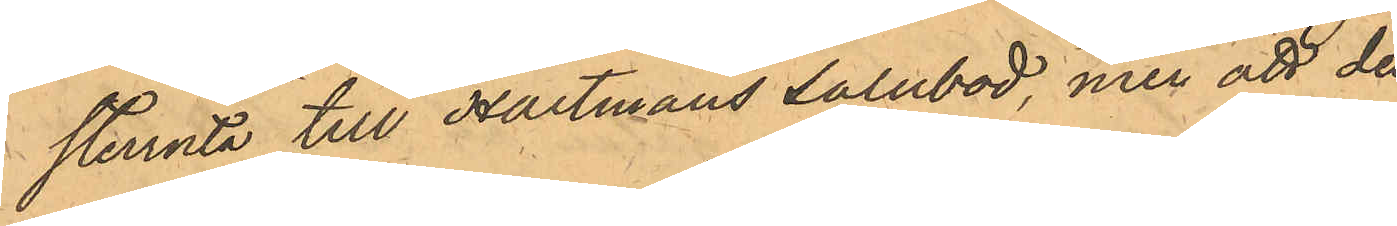sterruta till Hartmans salubod, men att då
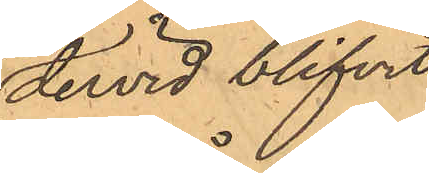dervid blifvit
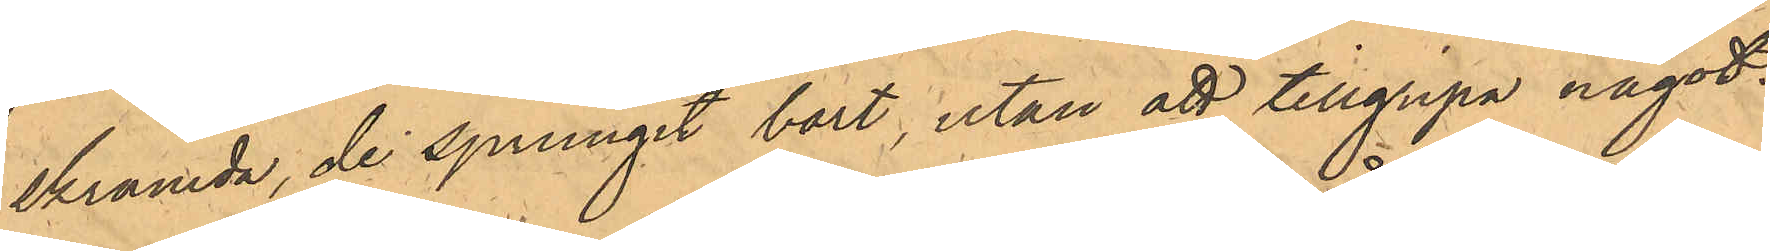skrämda, de sprungit bort, utan att tillgripa något.
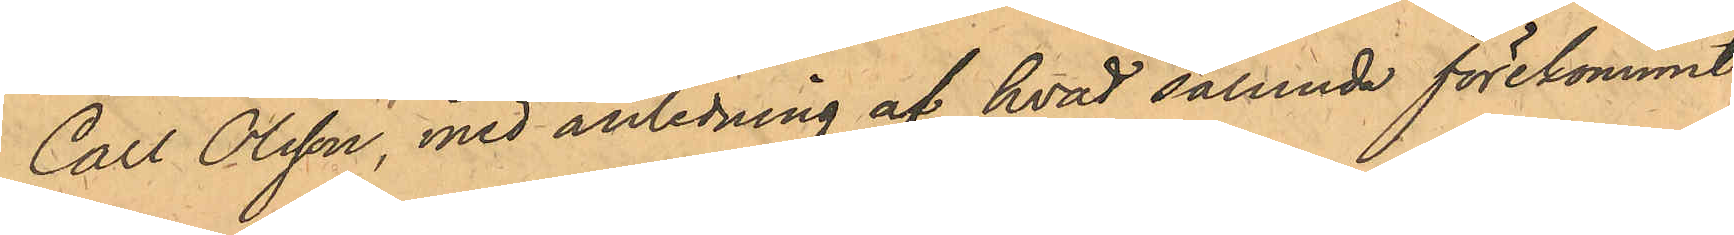Carl Olsson, med anledning af hvad sålunda förekommit
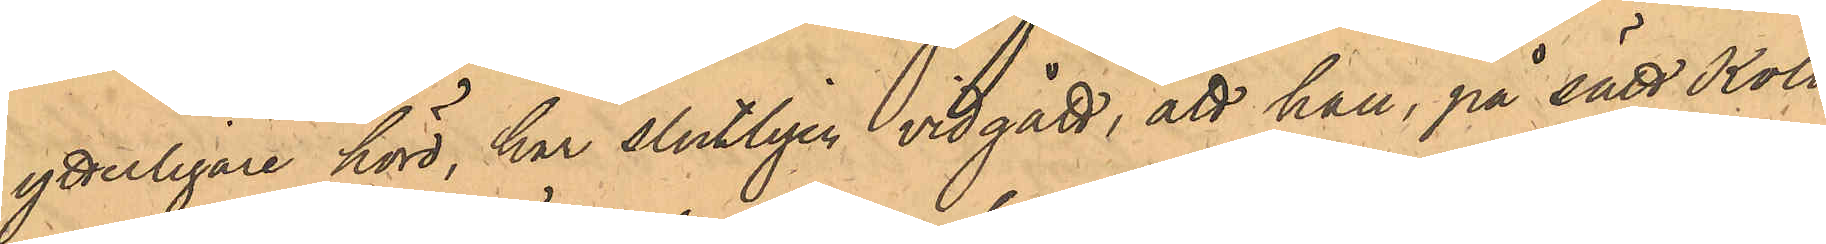ytterligare hörd, har slutligen vidgått, att han, på sätt Koll¬
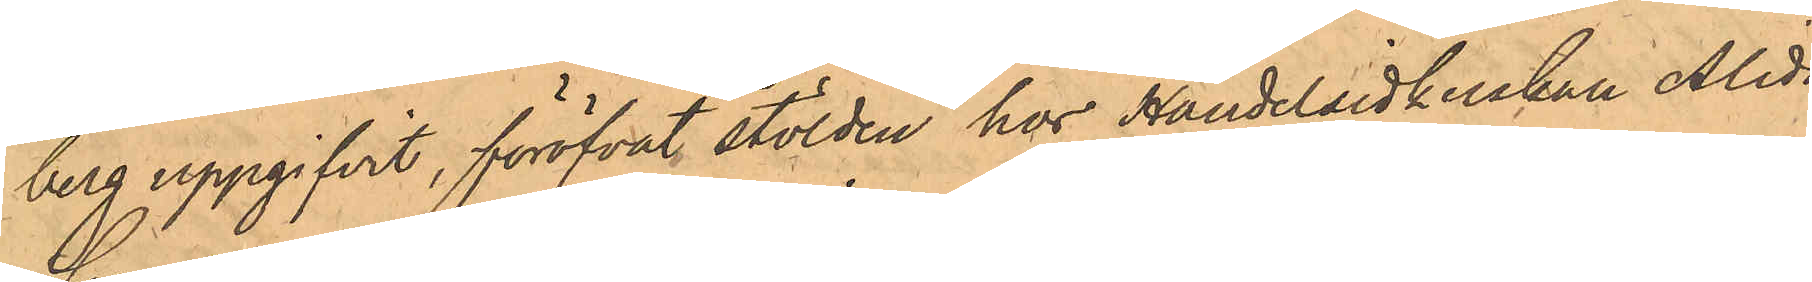berg uppgifvit, föröfvat stölder hos Handelsidkerskan Alida
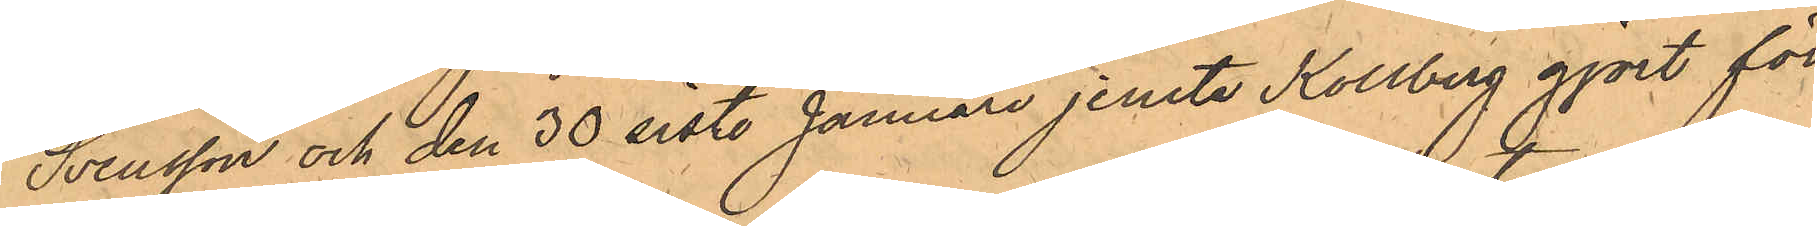Svensson och den 30 sist. Januari jemte Kollberg gjort för¬
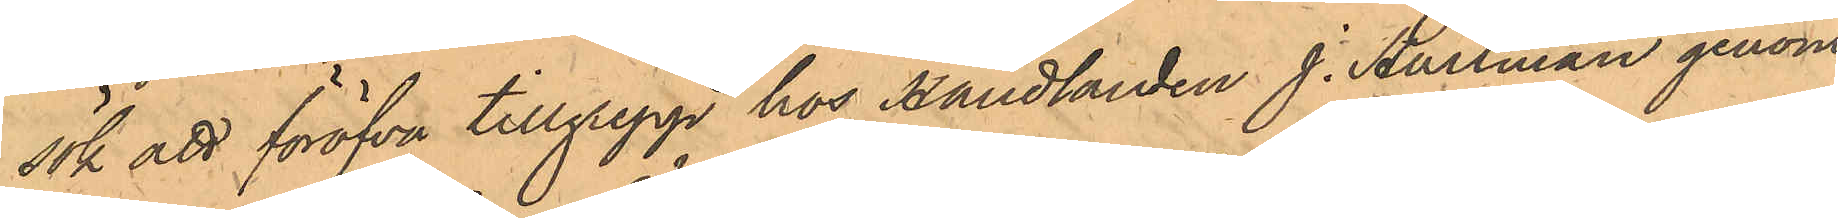sök att föröfva tillgrepp hos Handlanden J. Hartman genom
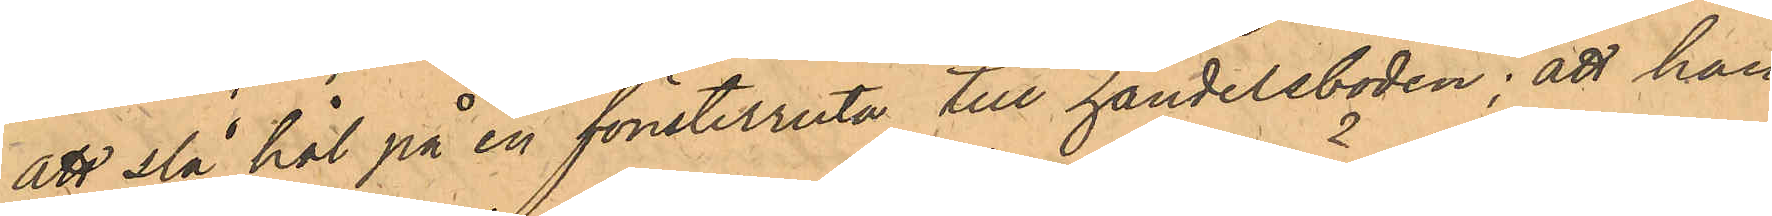att slå hål på en fönsterruta till handelsboden; att han
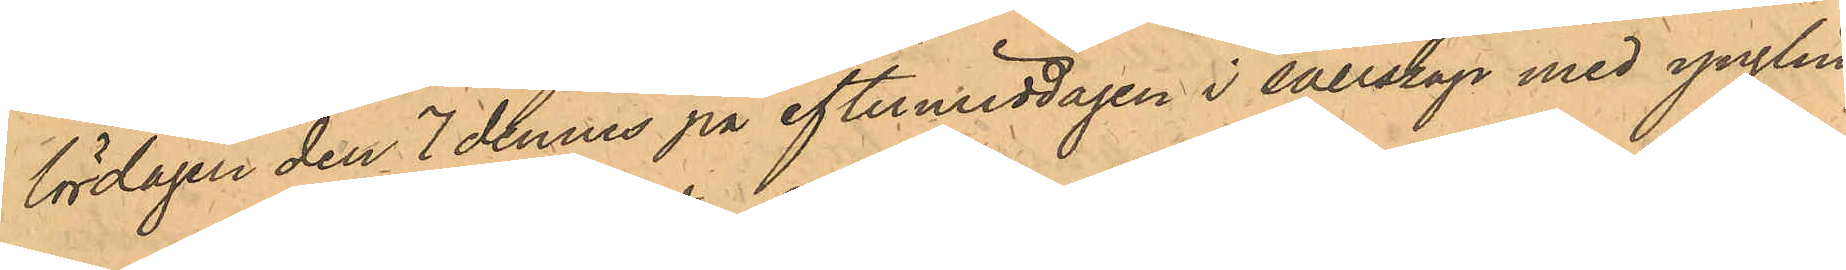lördagen den 7 dennes på eftermiddagen i sällskap med ynglin¬
